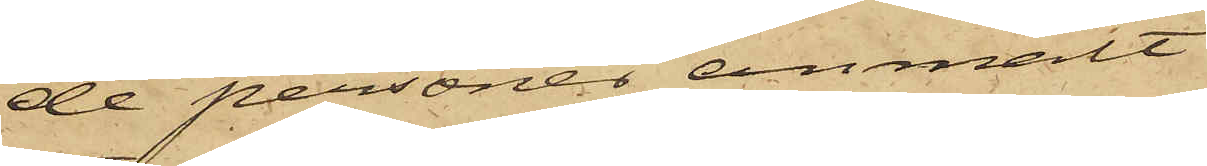de personer anmält
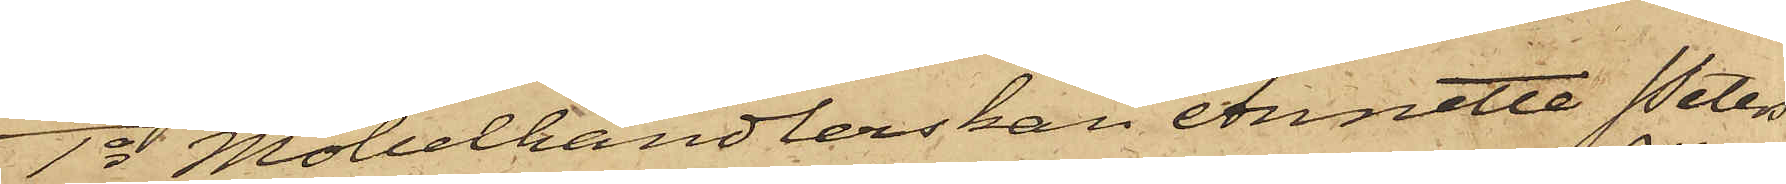1o Möbelhandlerskan Annette Peter¬
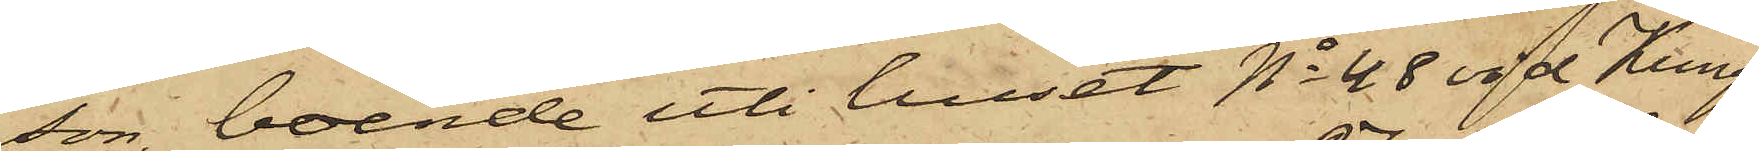son, boende uti huset No 48 vid Kungs¬
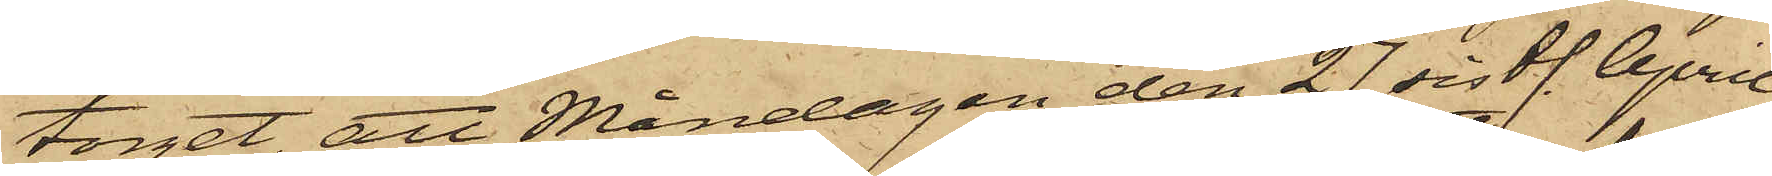torget, att Måndagen den 27 sistl. April
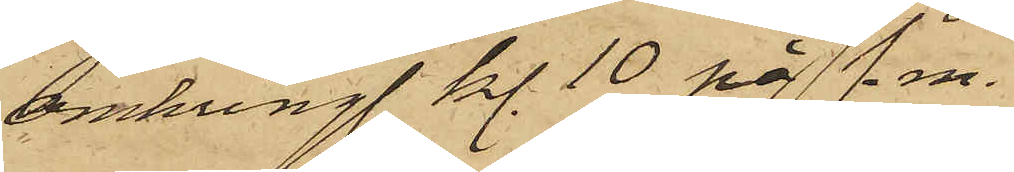omkring kl. 10 på f. m.
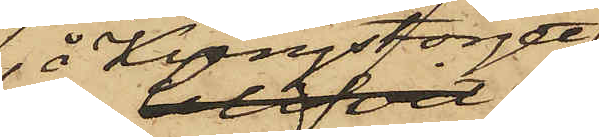 å Kungstorget
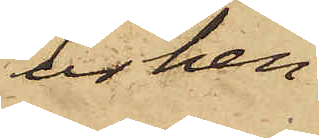ur hen¬
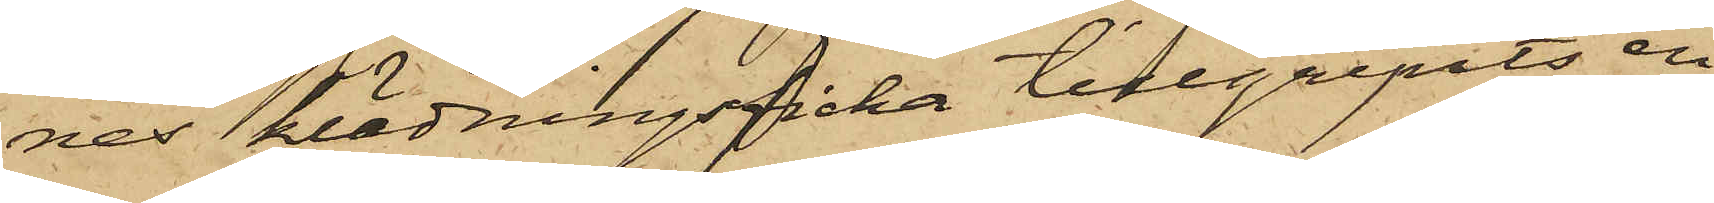nes klädningsficka tillgripits en
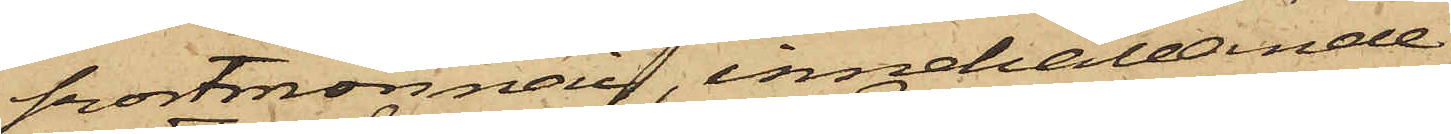portmonnai, innehållande
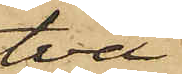två
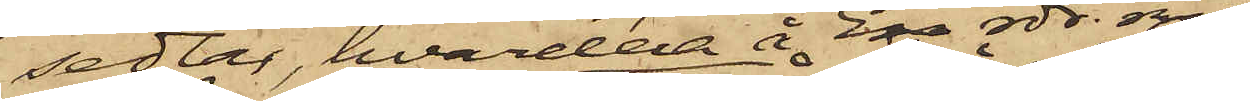sedlar, hvardera å En rdr. rmt
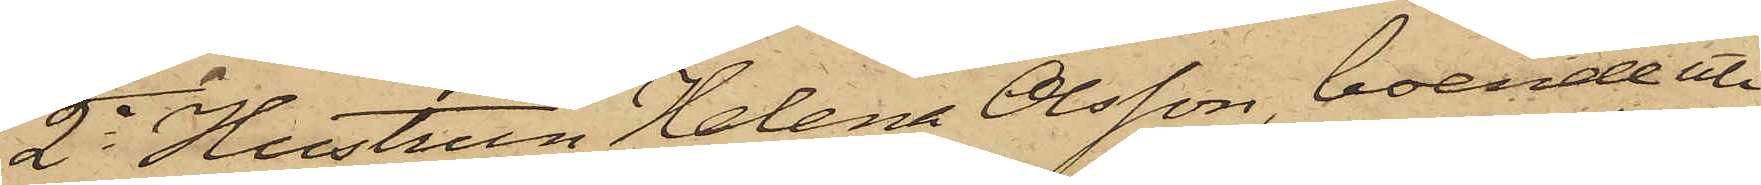2o Hustrun Helena Olsson, boende uti
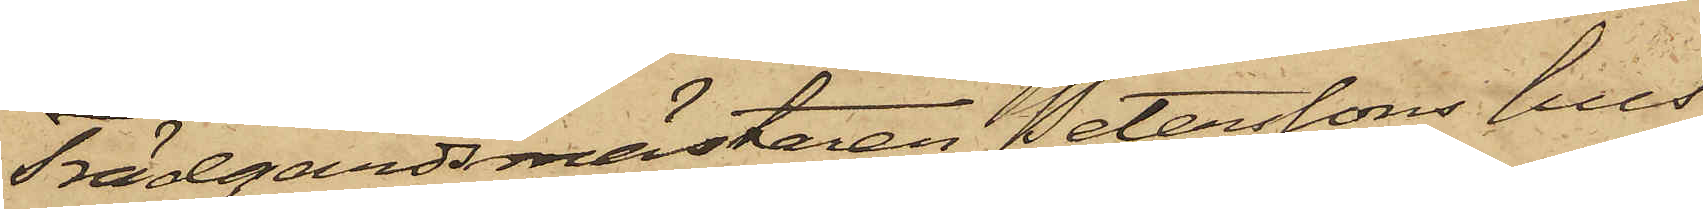Trädgårdsmästaren Peterssons hus
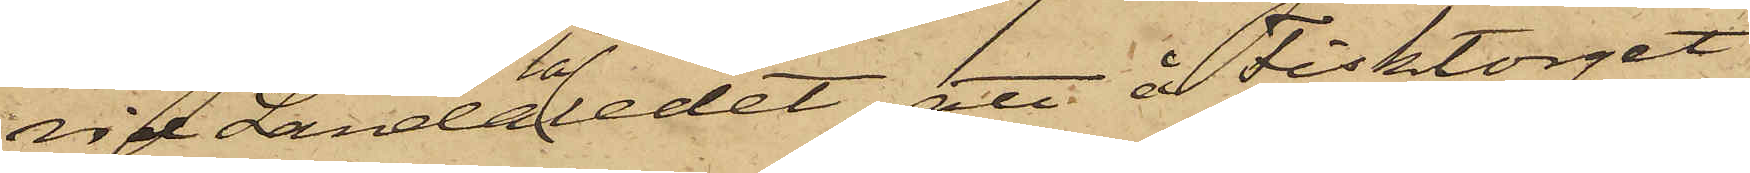vid Landalaledet, att å Fisktorget
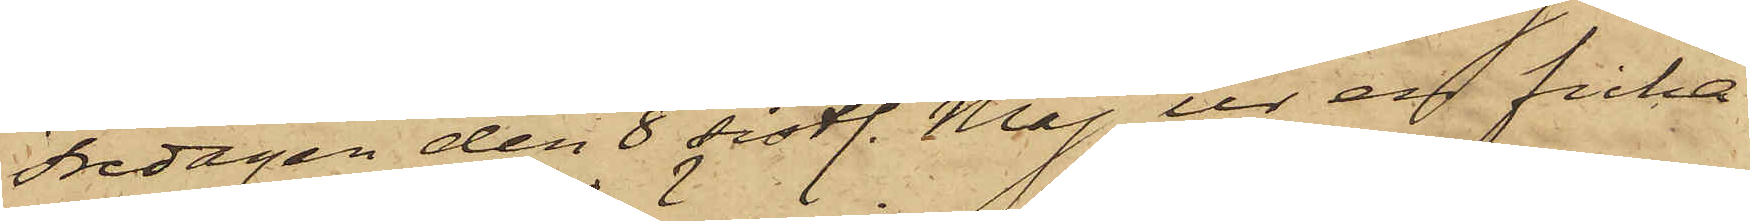Fredagen den 8 sistl. Maj ur en ficka
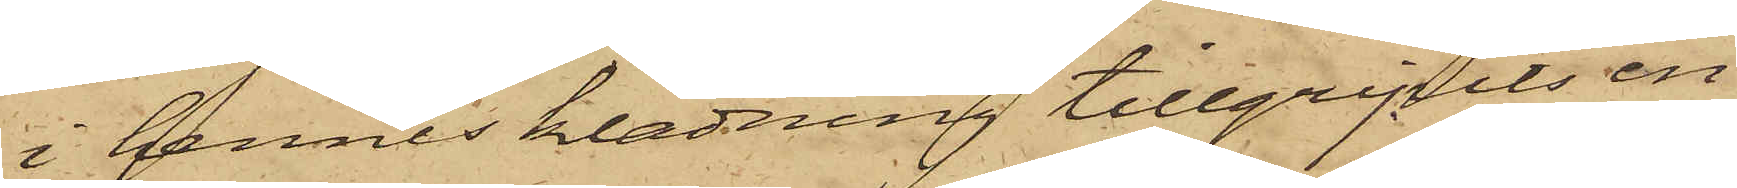i hennes klädning tillgripits en
